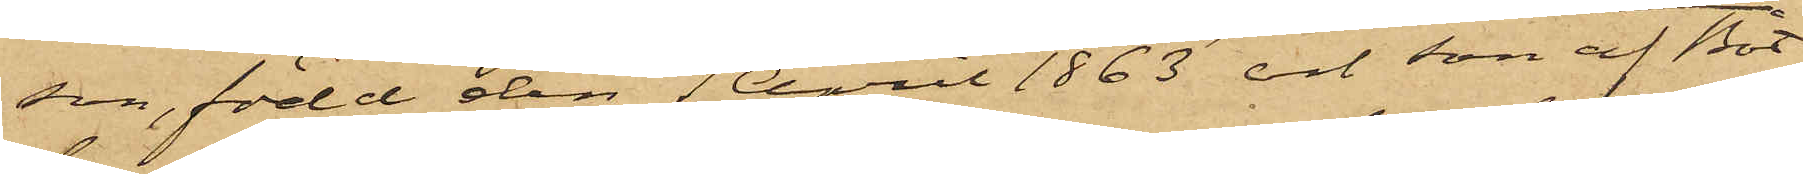son, född den 1 April 1863 och son af Båt¬
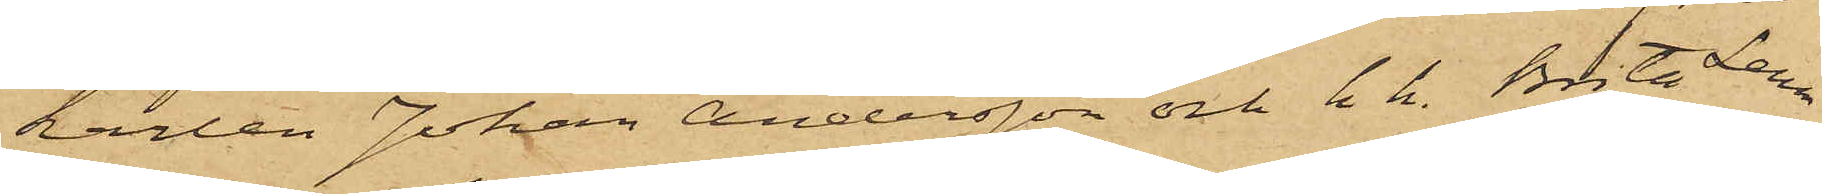karlen Johan Andersson och h.h.. Brita Lena
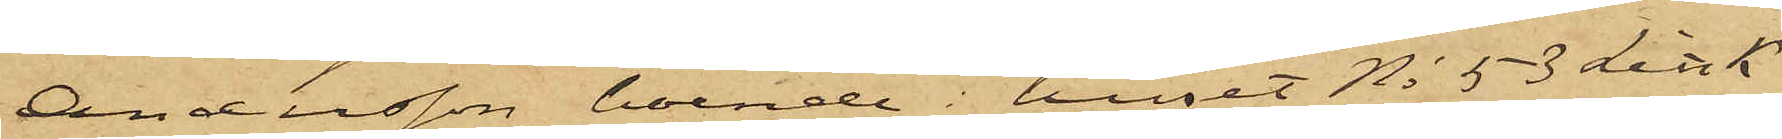Andersson, boende i huset No 53 Litt. K
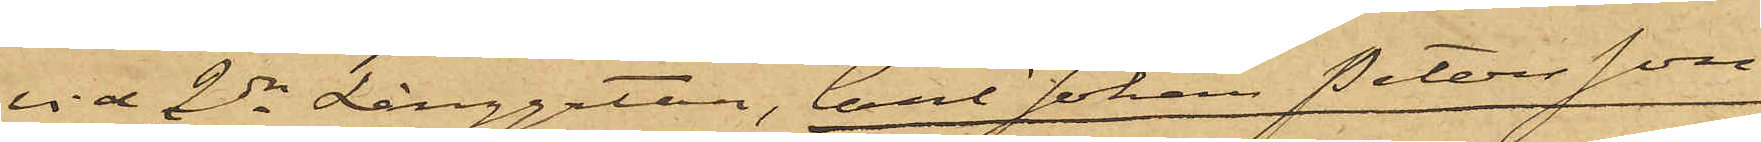vid 2dra Långgatan, Carl Johan Petersson,
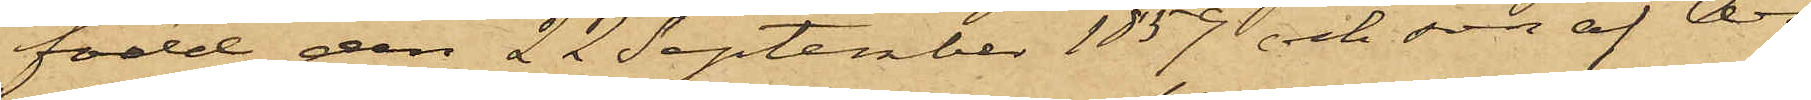född den 22 September 1859 och son af Ar¬
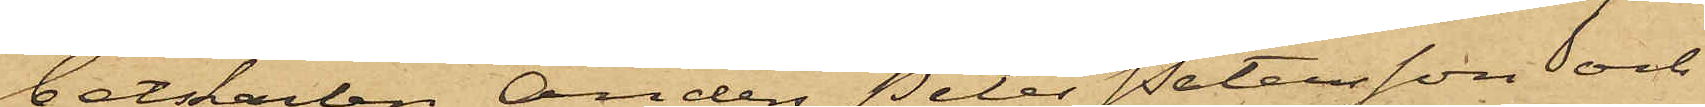betskarlen Anders Peter Petersson och
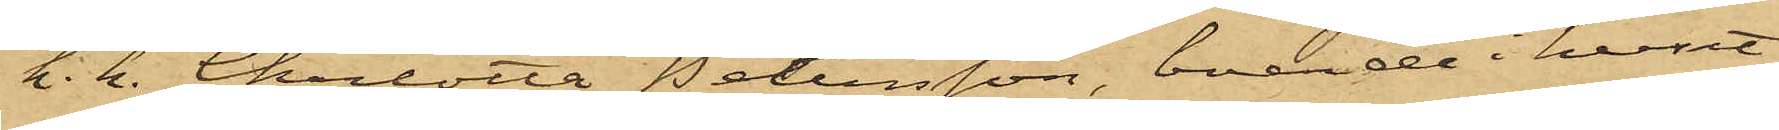h.h.. Charlotta Petersson, boende i huset
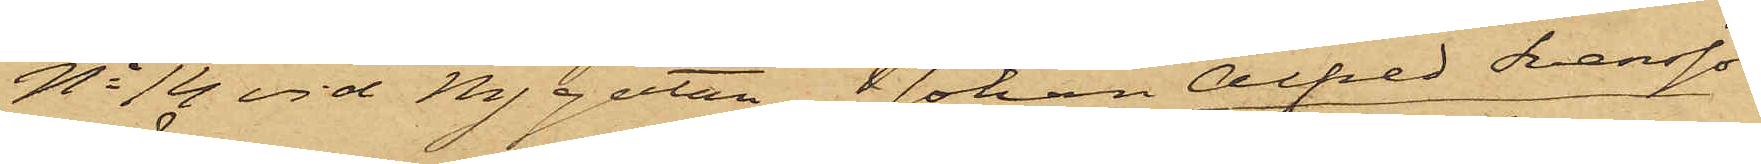No 14 vid Nygatan, Johan Alfred Svensson,
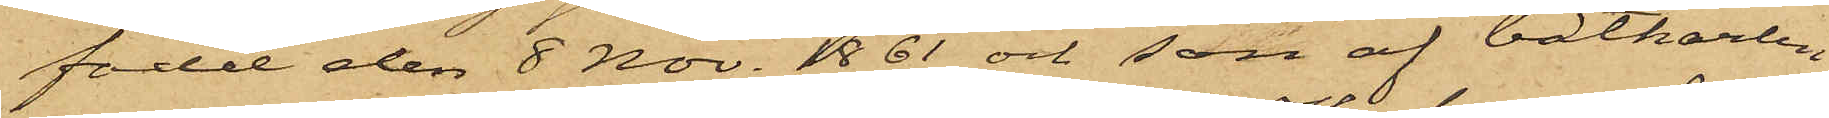född den 8 Nov. 1861 och son af båtkarlen
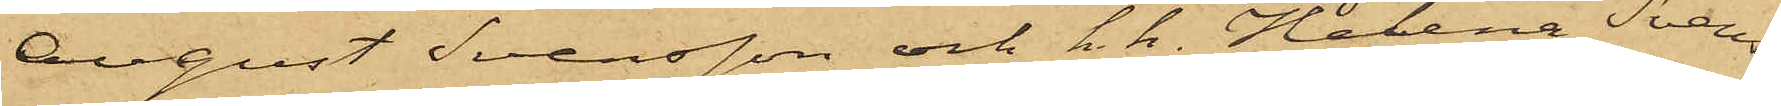August Svensson och h.h. Helena Svens¬
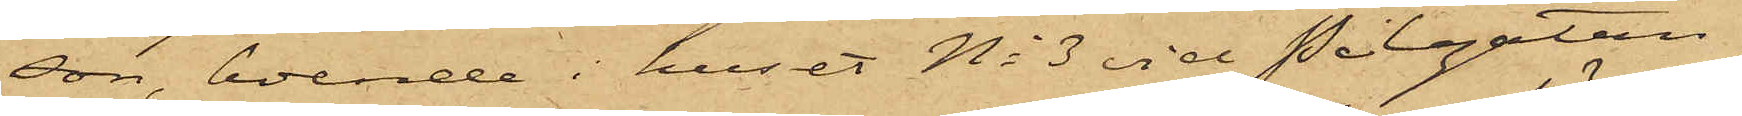son, boende i huset No 3 vid Pilgatan,
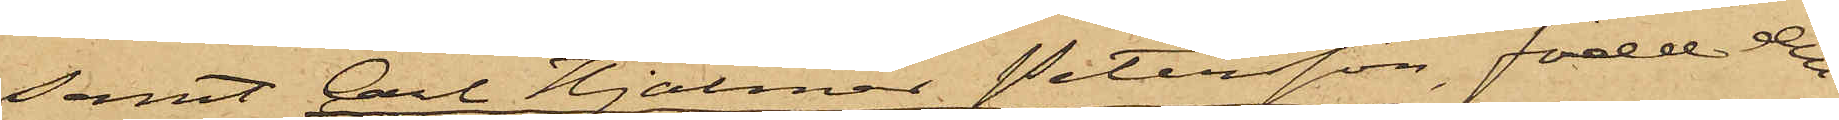samt Carl Hjalmar Petersson, född den
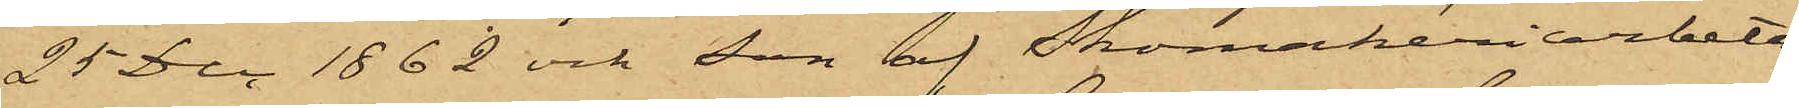25 Dec 1862 och son af Skomakeriarbeta¬
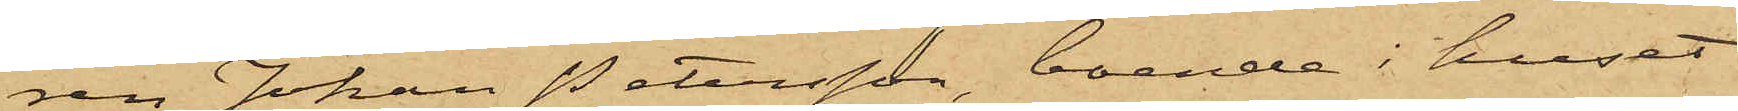ren Johan Petersson, boende i huset
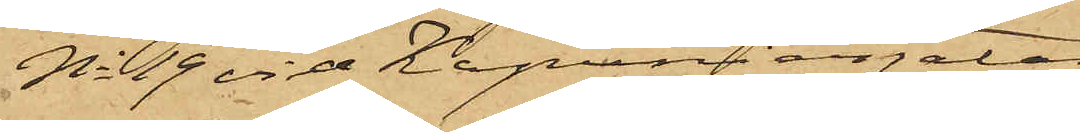No 19 vid Kapuniergatan.
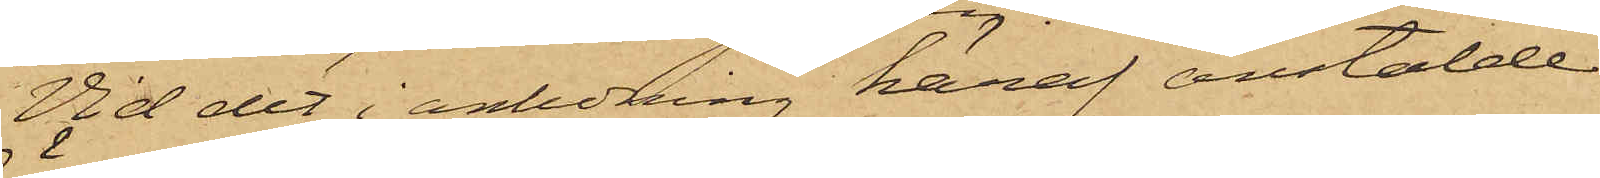Vid det i anledning häraf anstälde
